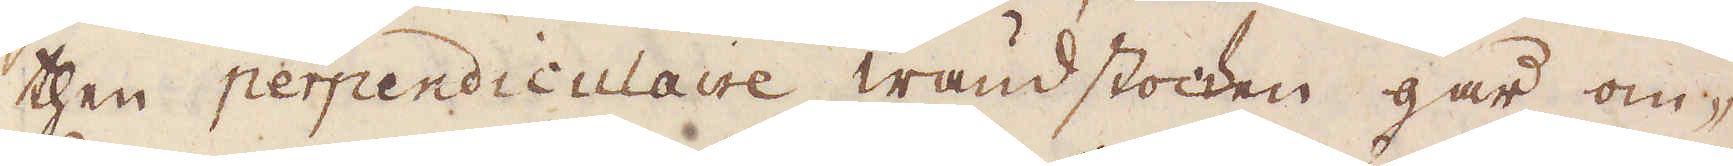then perpendiculaire wändstocken går om-
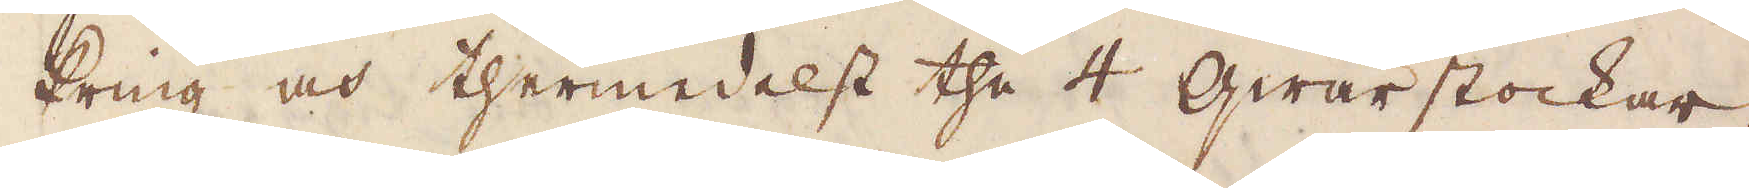kring och thermedelst the 4 qwärstockar,
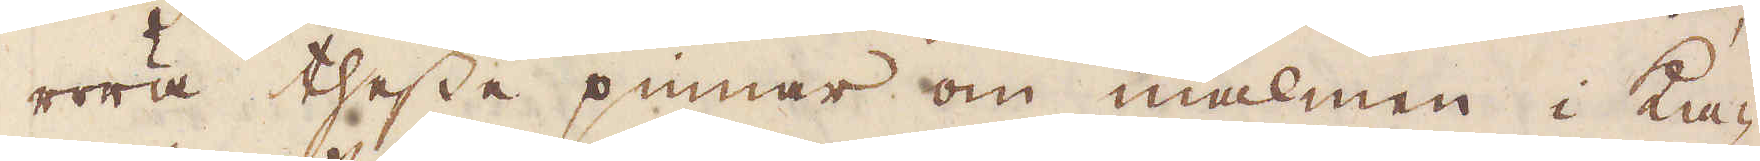röra thesse pinnar om malmen i ka-
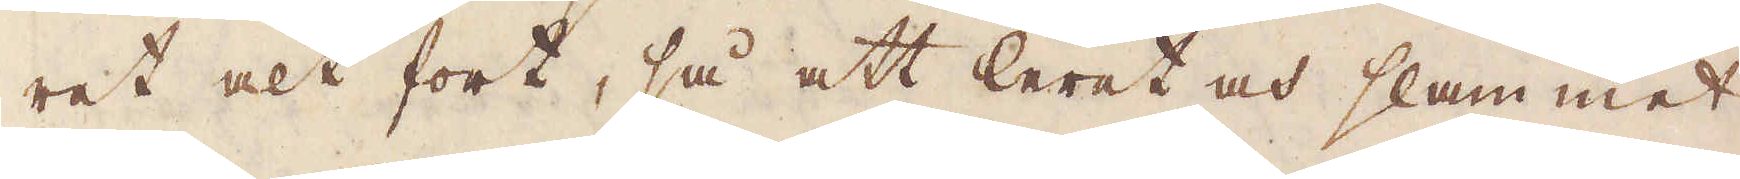ret alt fort, så att leret och slammet
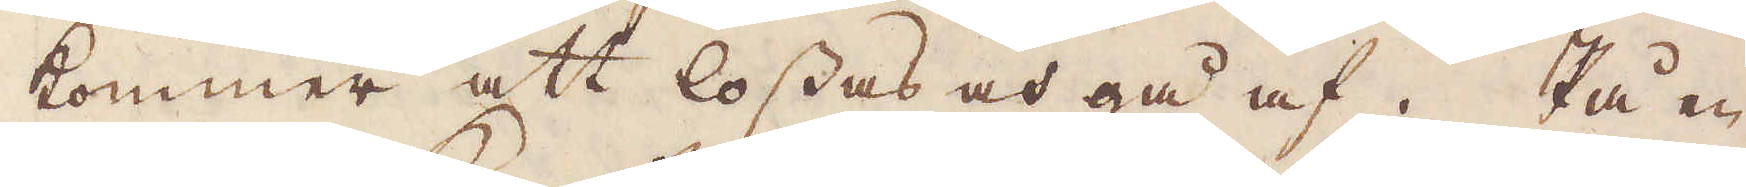kommer att lossas och gå af. På en
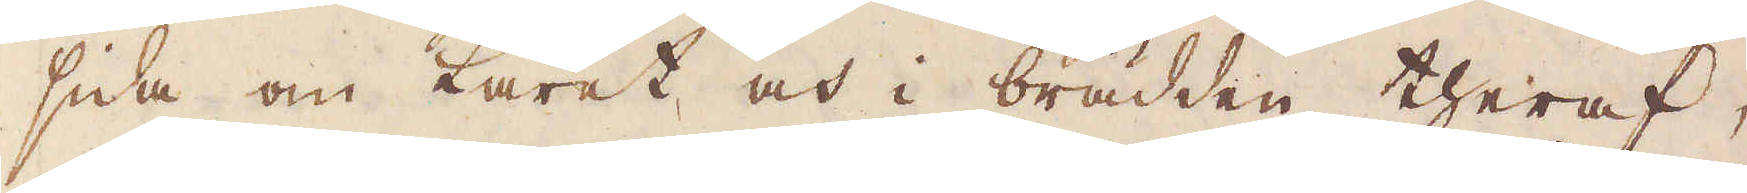sida om karet och i brädden theraf,
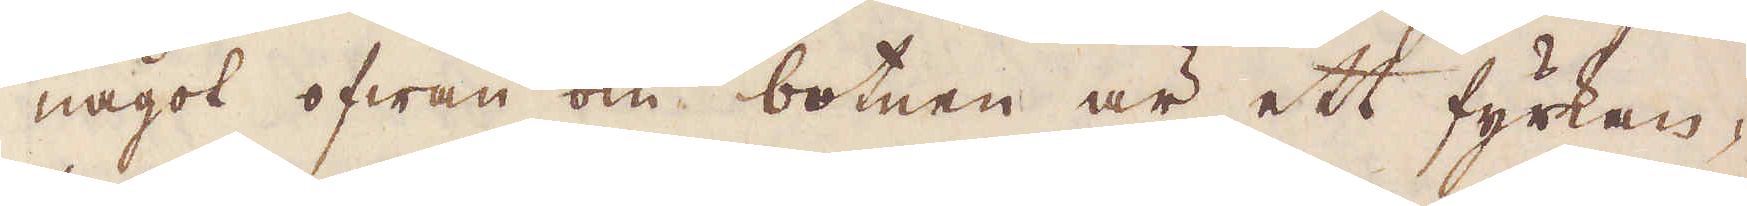något ofwan om botnen är ett fyrkan-
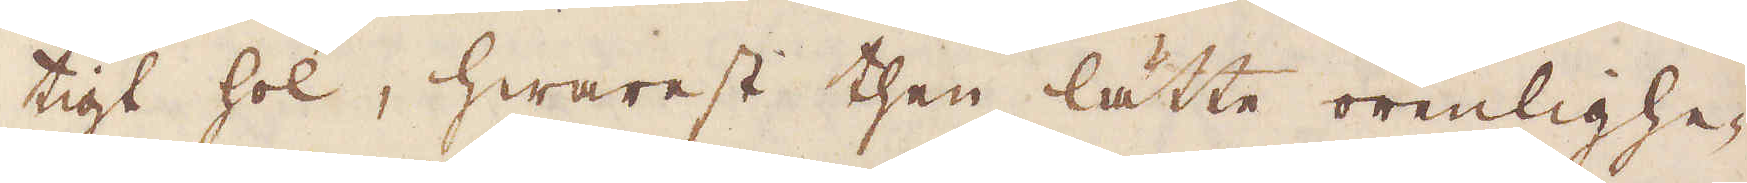tigt hol, hwarest then lätte orenlighe-
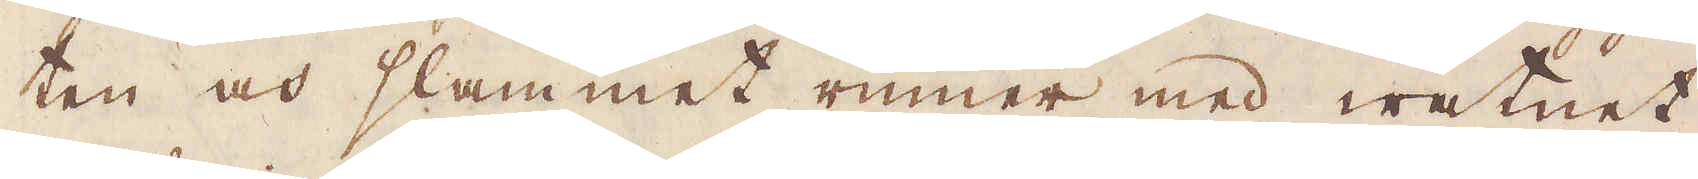ten och slammet rinner med watnet
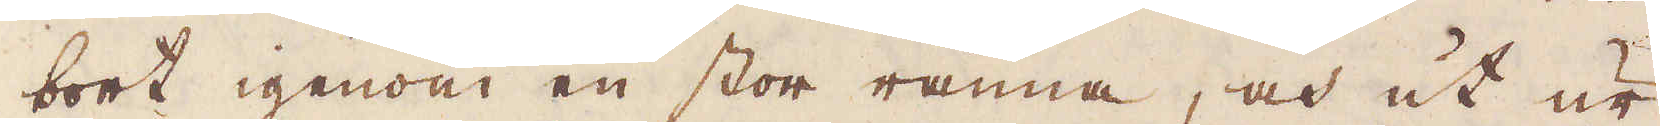bort igenom en stor ränna, och ut ur
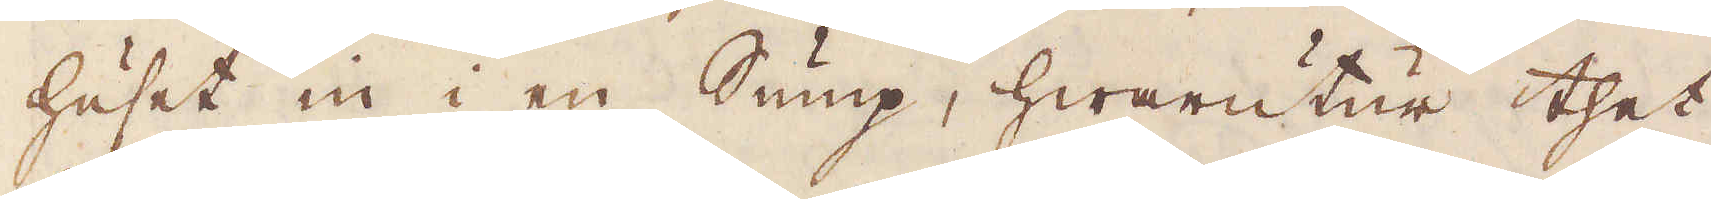huset in i en Sump, hwarutur thet
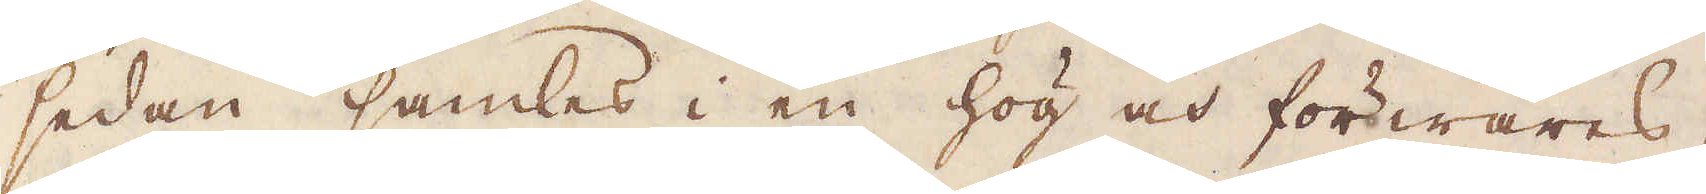sedan samles i en hög och förwares,
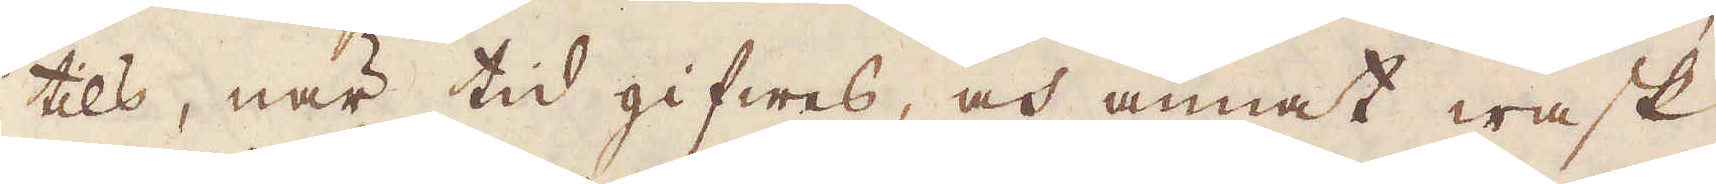tills, när tid gifwes, och annat wask
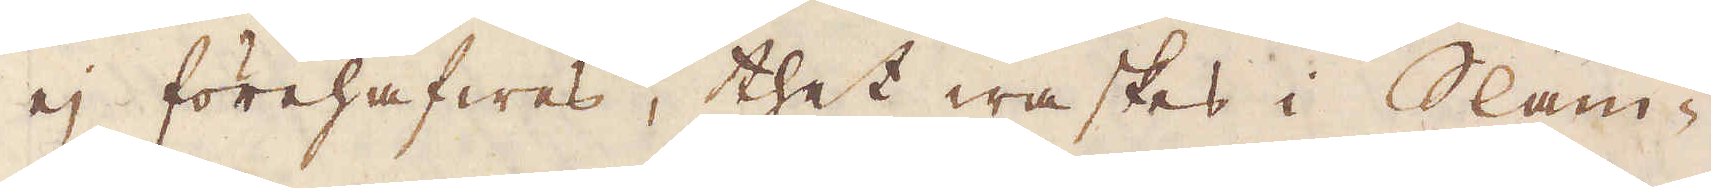ej förehafwes, thet waskas i Slam-
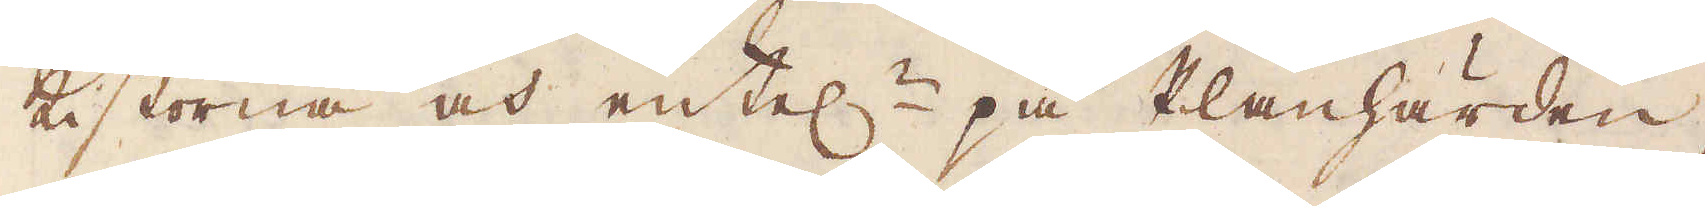kistorna och entel:n på Planhärden
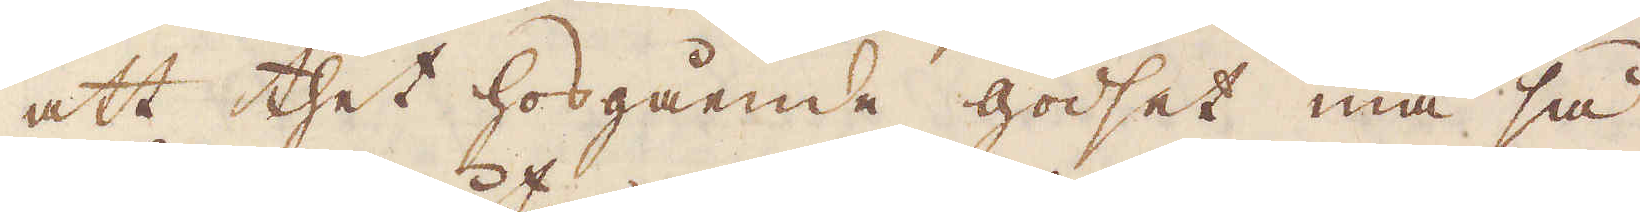att thet hosgående godset må så
